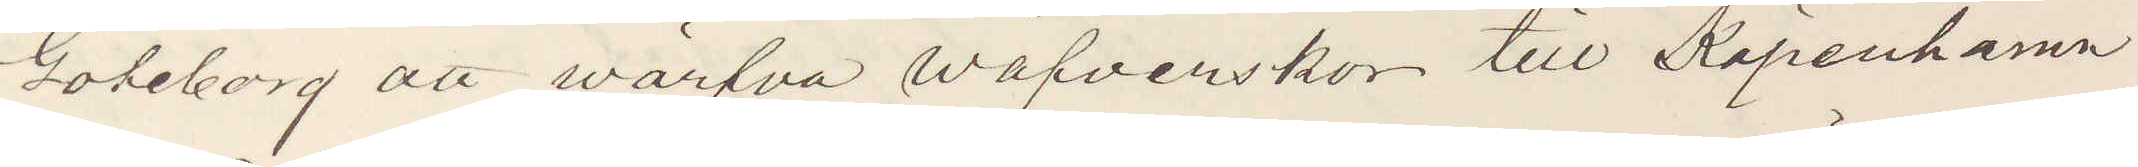Göteborg att wärfva väfverskor till Köpenhamn
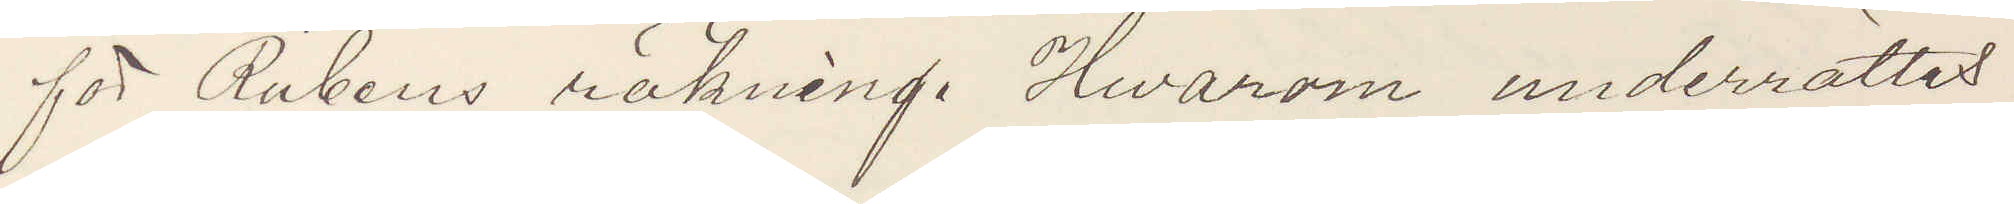för Rubens räkning. Hvarom underrättat
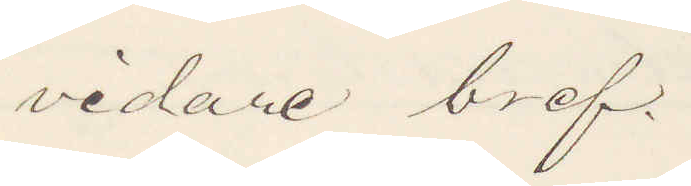vidare bref.
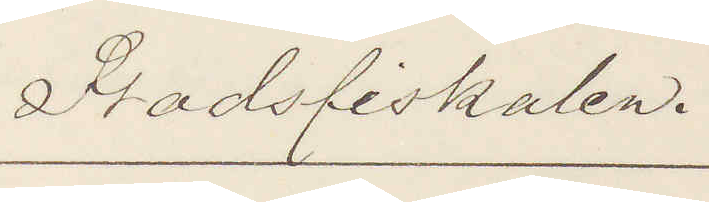Stadsfiskalen.
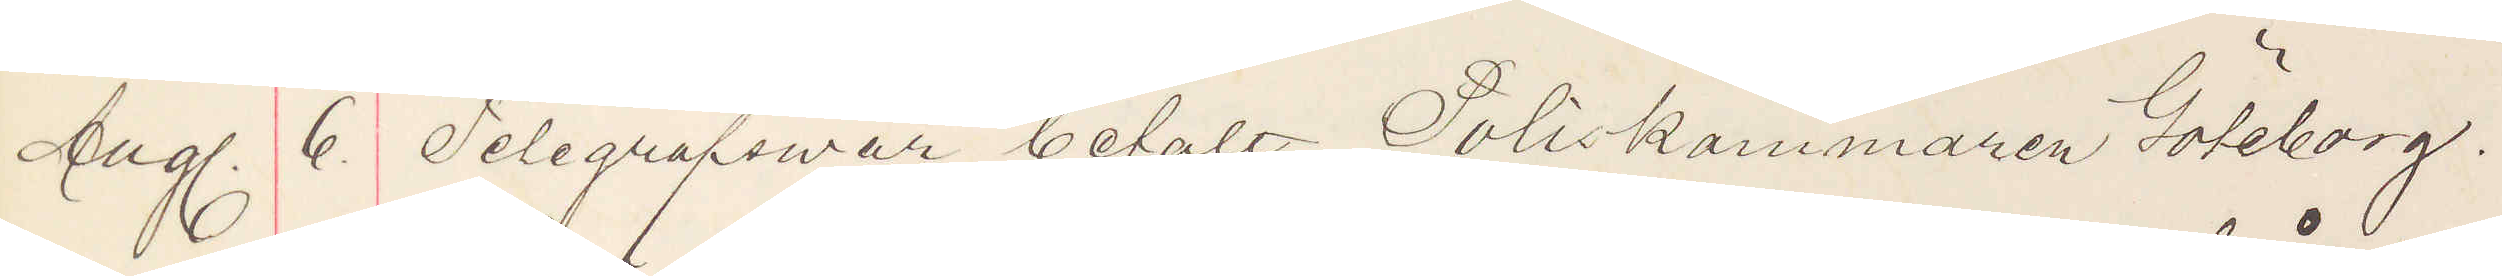Aug. 6. Telegrafsvar betalt. Poliskammaren Göteborg.
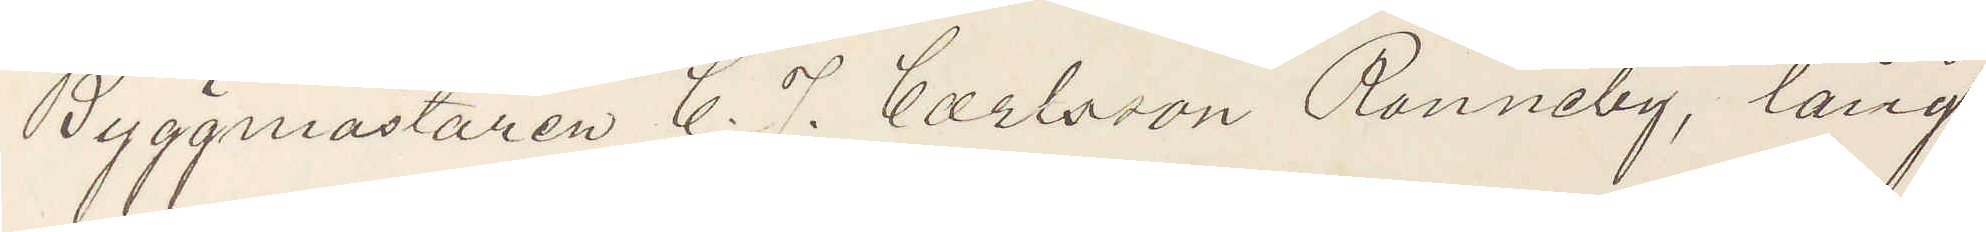Byggmästaren C. J. Carlsson Ronneby, lång
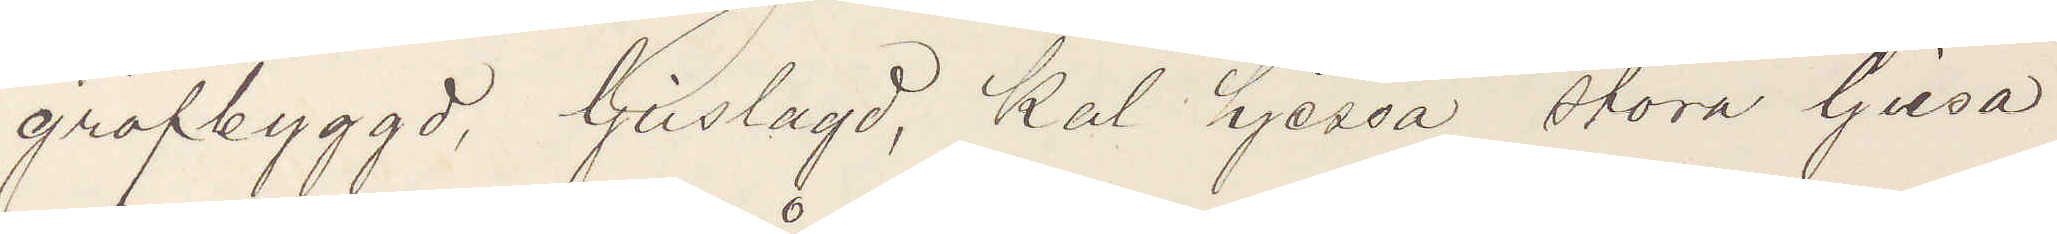grofbyggd, ljuslagd, kal hjessa stora ljusa
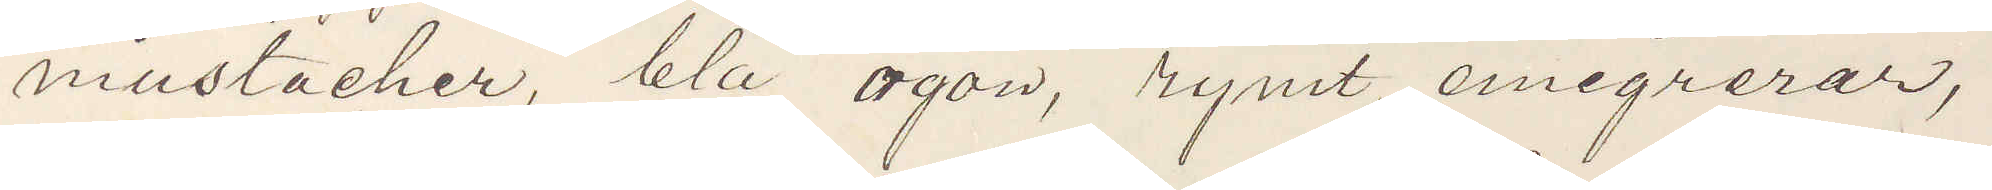mustacher, blå ögon, rymt, emigrerar,
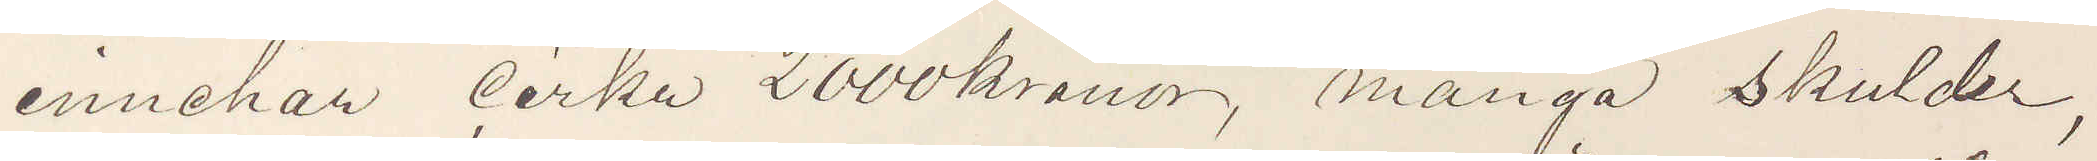innehar cirka 2000 kronor, många skulder,
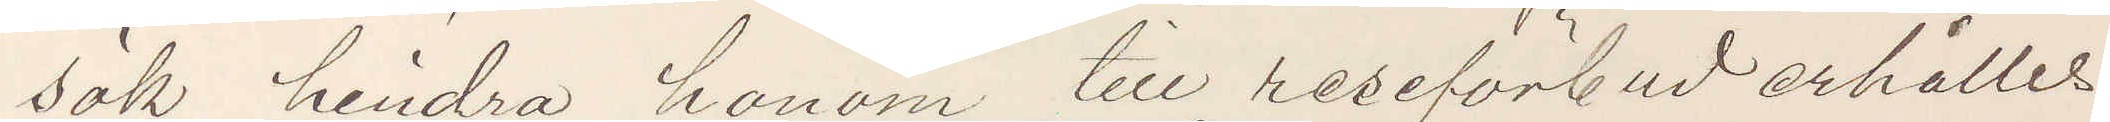sök hindra honom till reseförbud erhålles
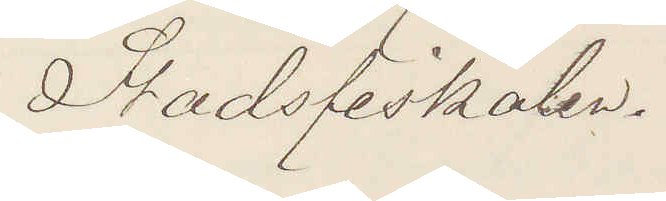Stadsfiskalen.
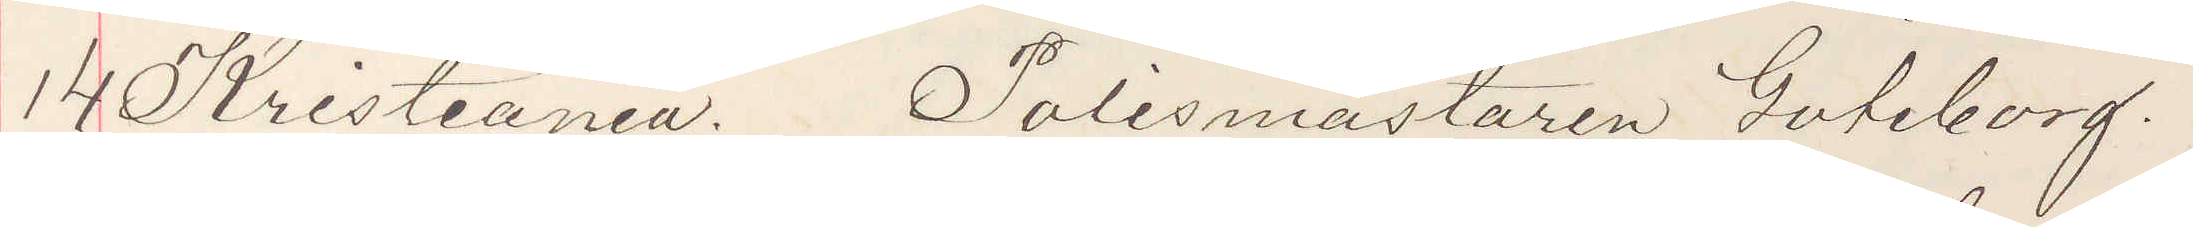14 Kristiania. Polismästaren Göteborg.
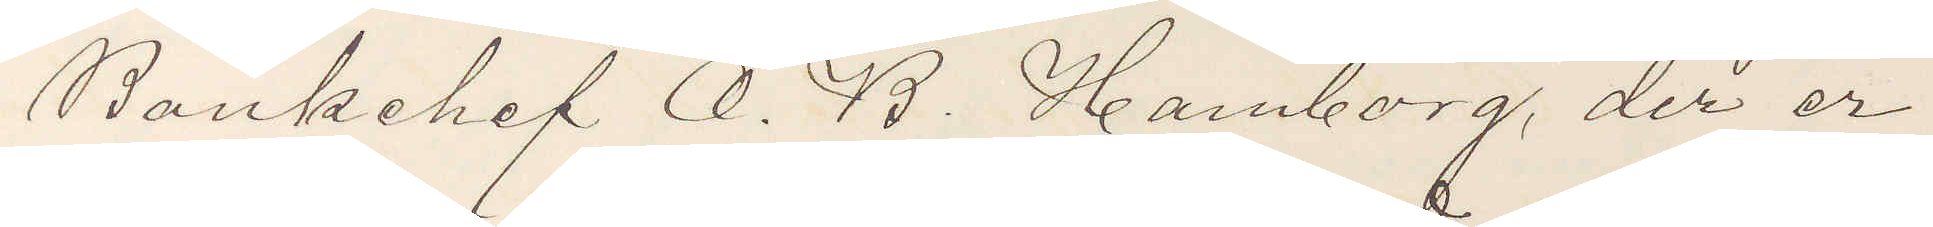Bankchef O. B. Hamborg, der er
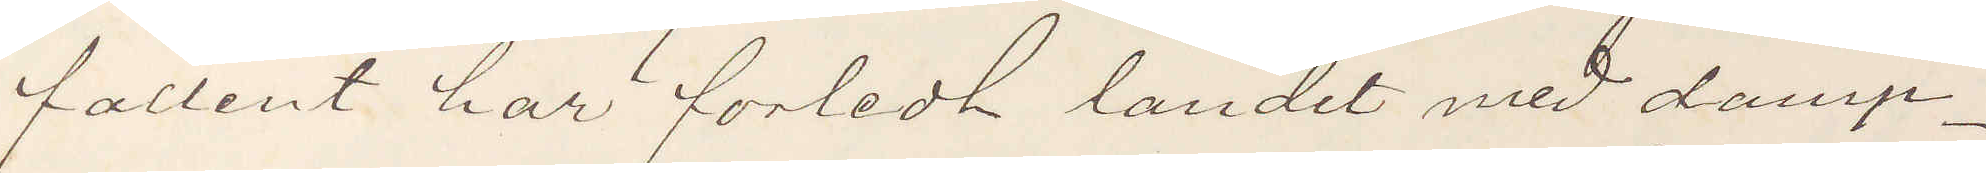fallent har förledt landet med damp¬
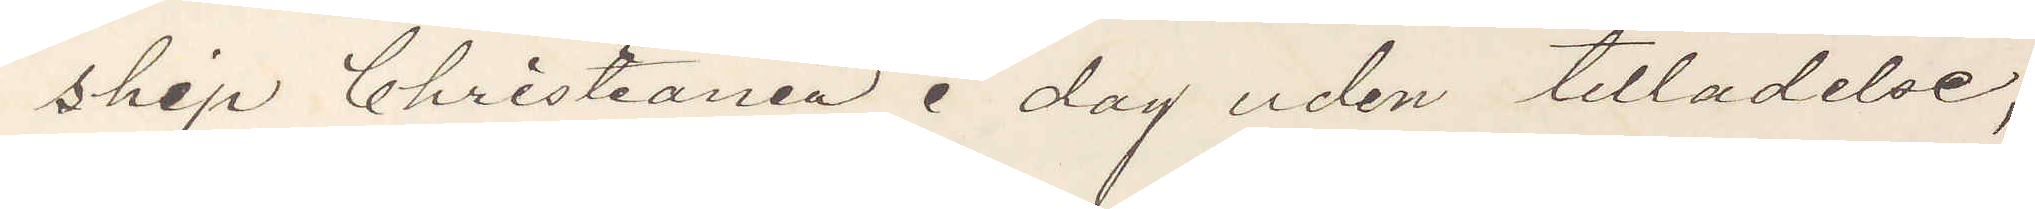skip Christiania i dag uden tilladelse,
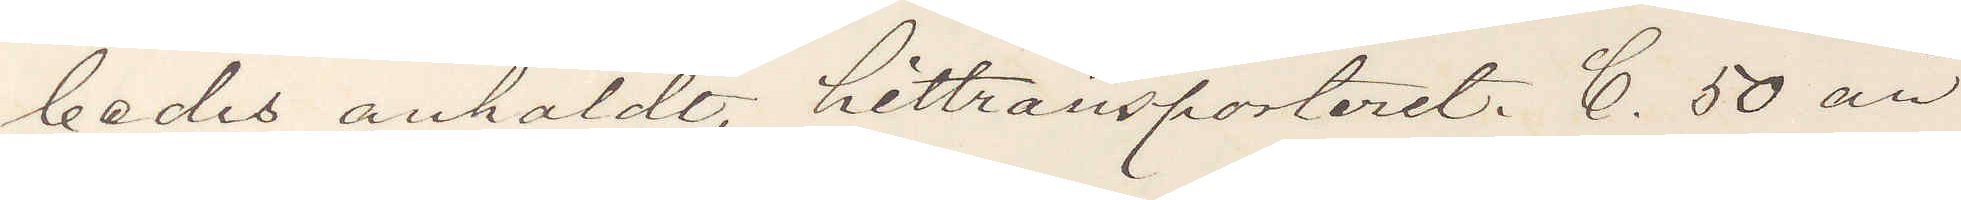bedes anhåldt, hittransporteret. C. 50 år
